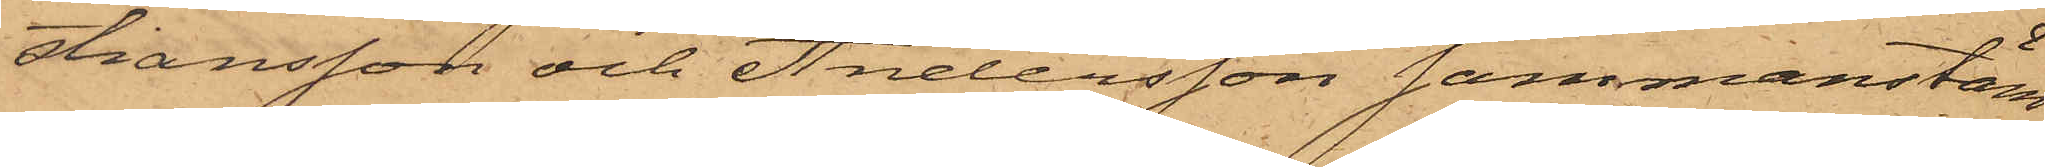stiansson och Andersson sammanstäm¬
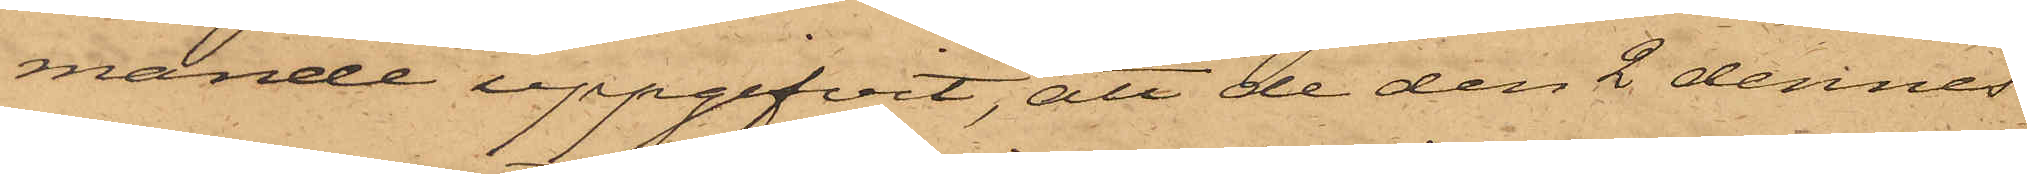mände uppgifvit, att de den 2 dennes
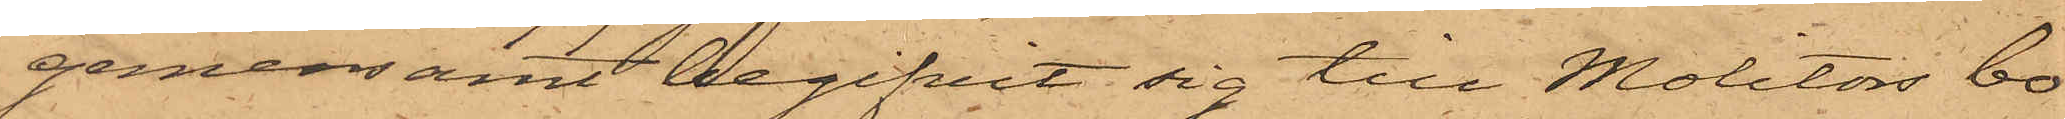gemensamt begifvit sig till Molitors bo¬
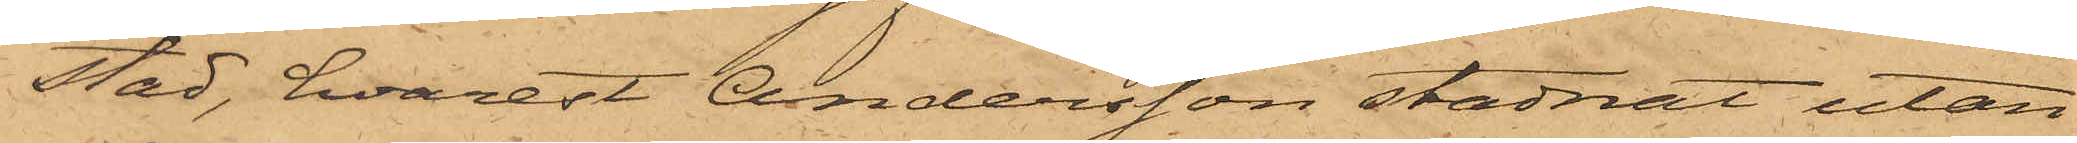stad, hvarest Andersson stadnat utan¬
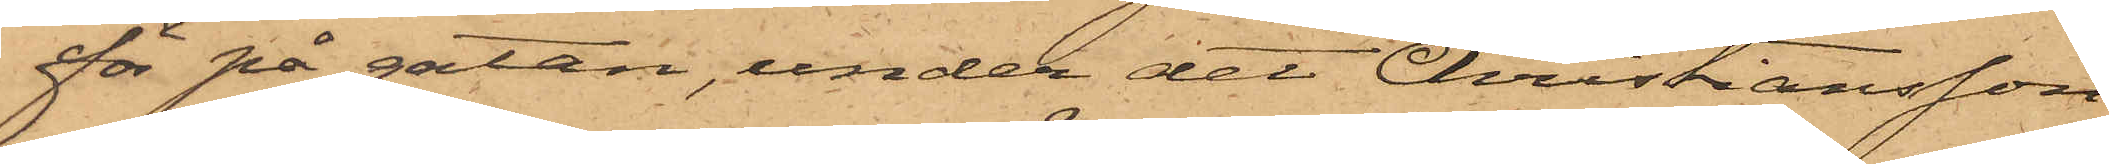för på gatan, under det Christiansson
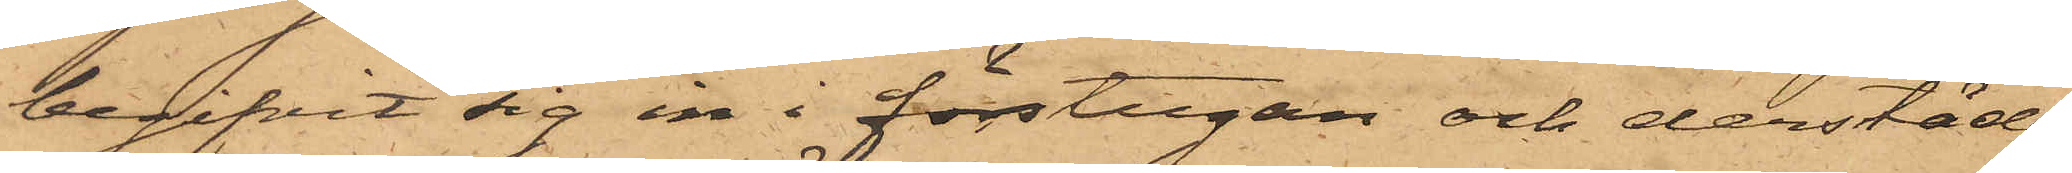begifvit sig in i förstugan och derstädes
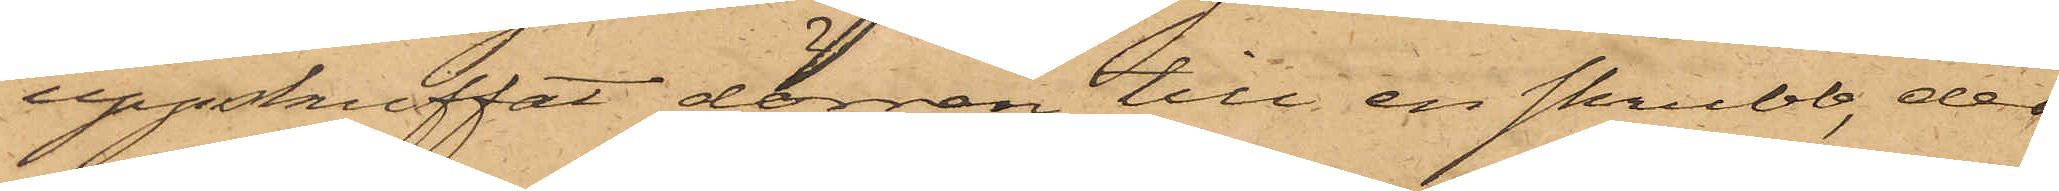uppskuffat dörren till en skrubb, der
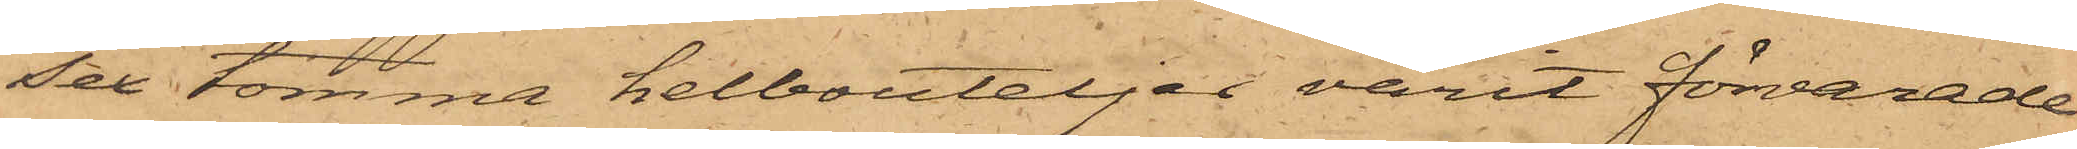Sex tomma helbouteljer varit förvarade
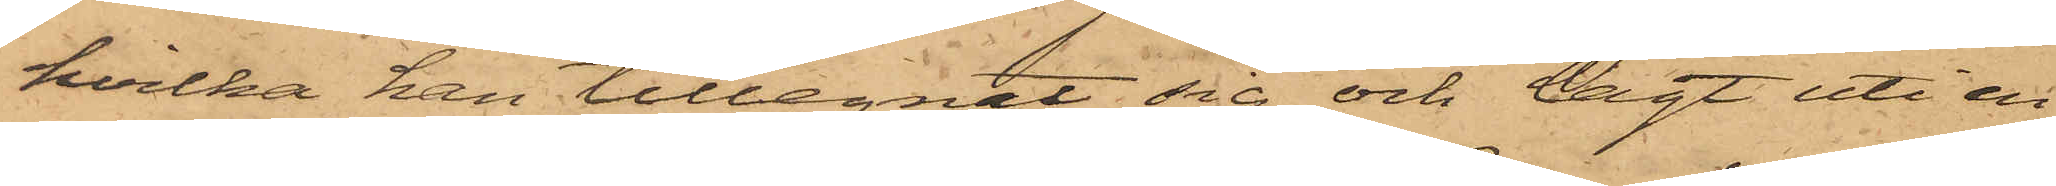hvilka han tillegnat sig och lagt uti en
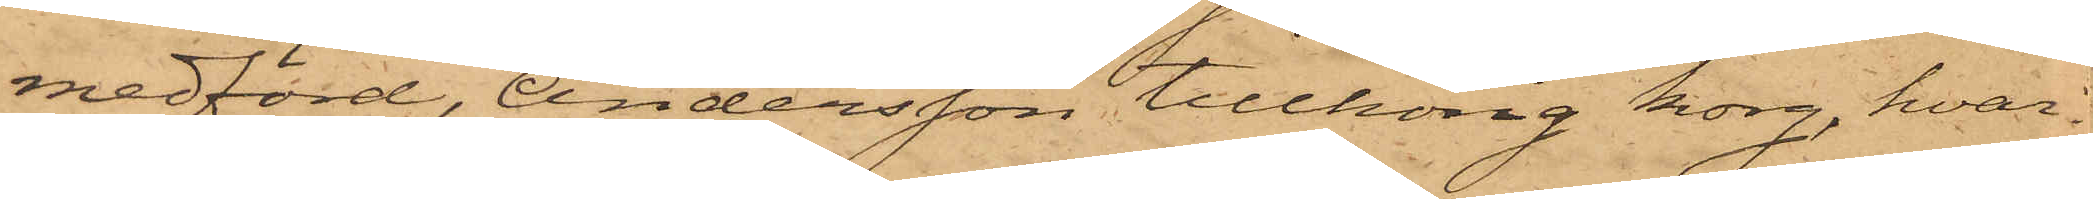medförd, Andersson tillhörig korg, hvar¬
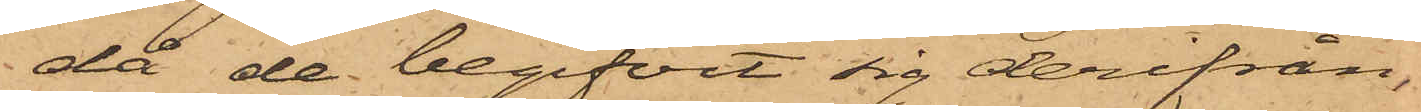då de begifvit sig derifrån
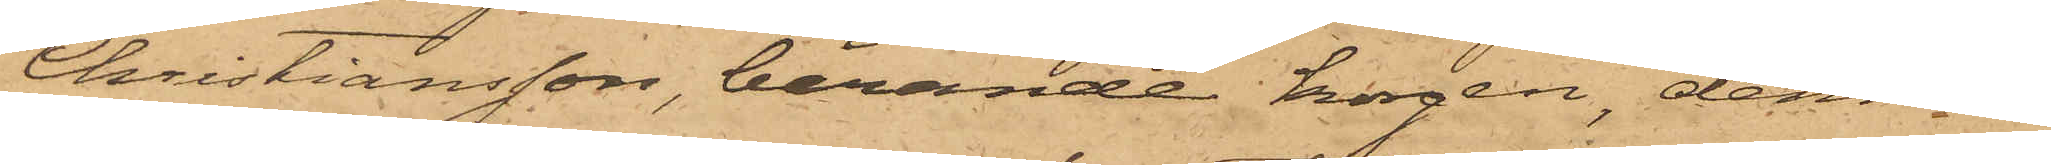Christiansson, bärande korgen, denne
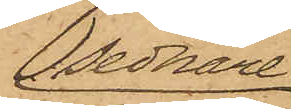sednare
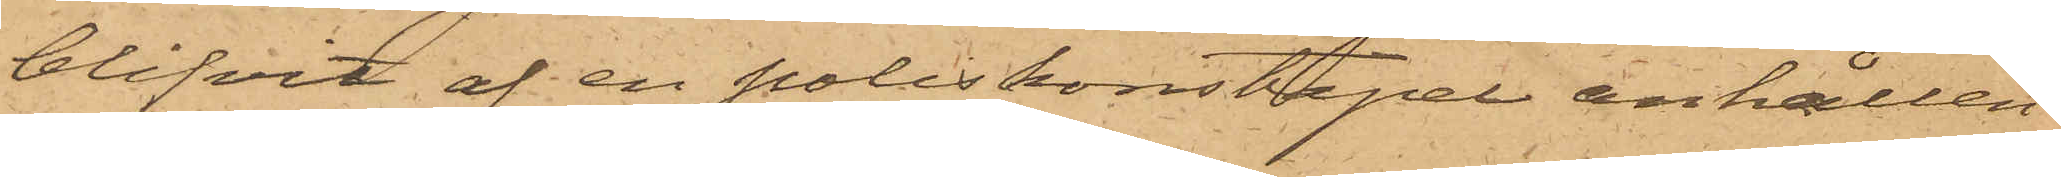blifvit af en poliskonstapel anhållen
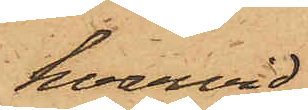hvarvid
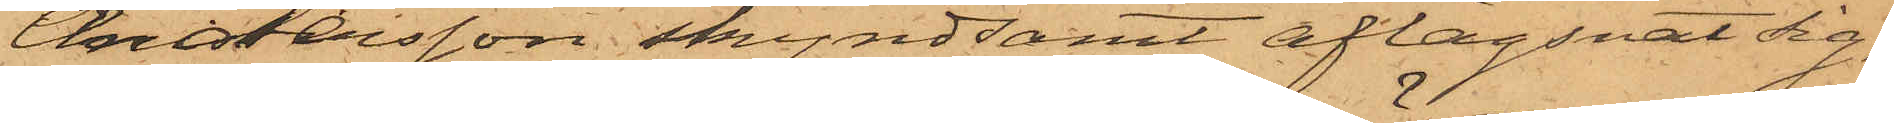Andersson skyndsamt aflägsnat sig;
